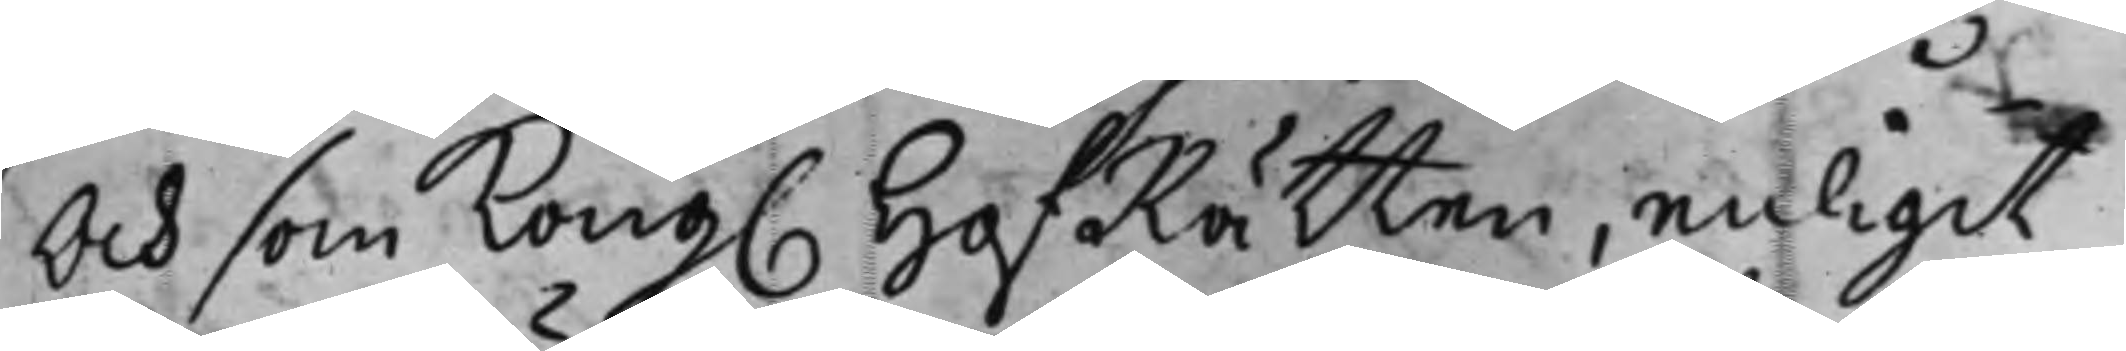Och som Kong. HofRätten, enligit
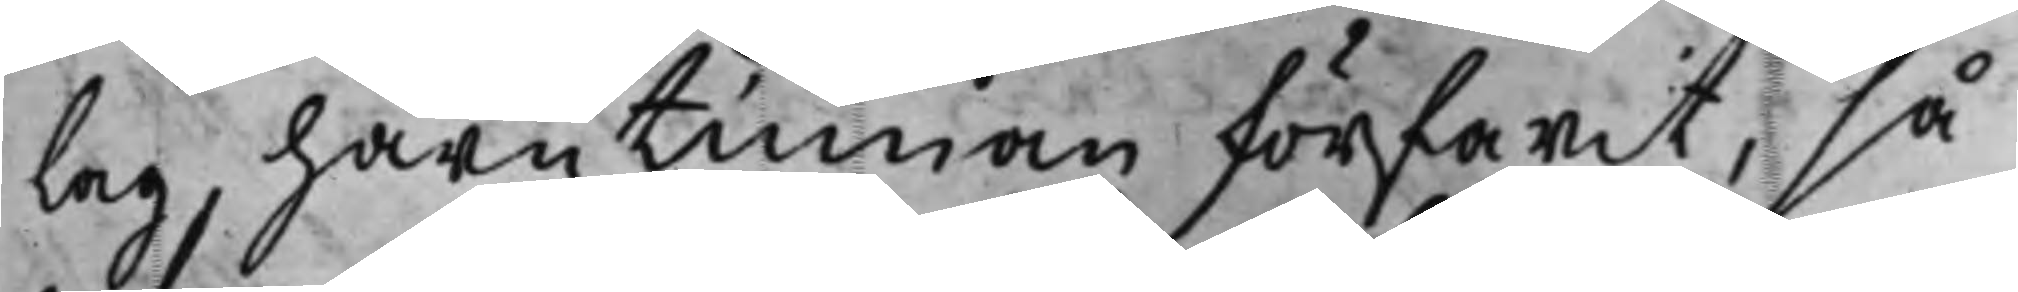Lag, härutinnan förfarit, så
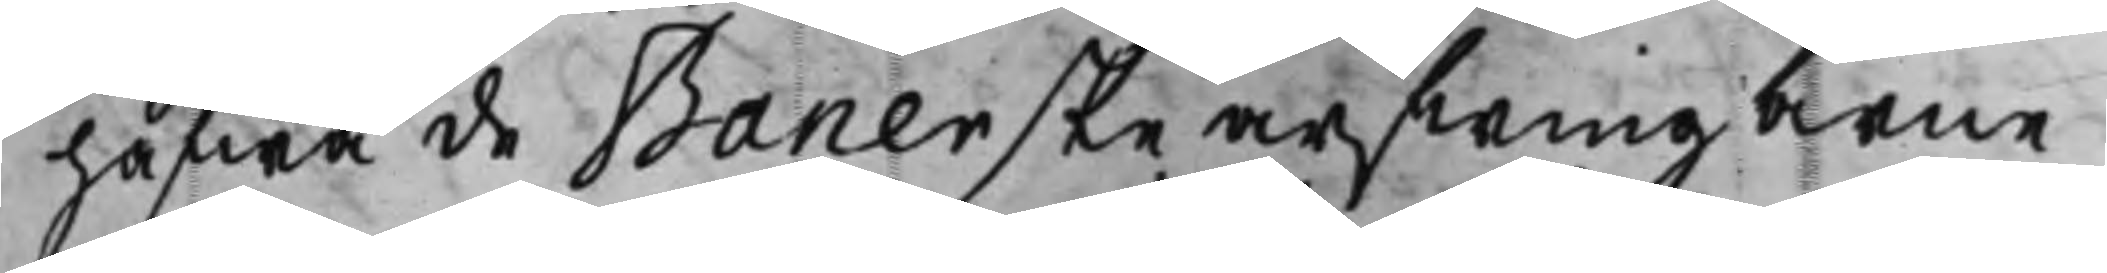hafwa de Banerske arfwingarne
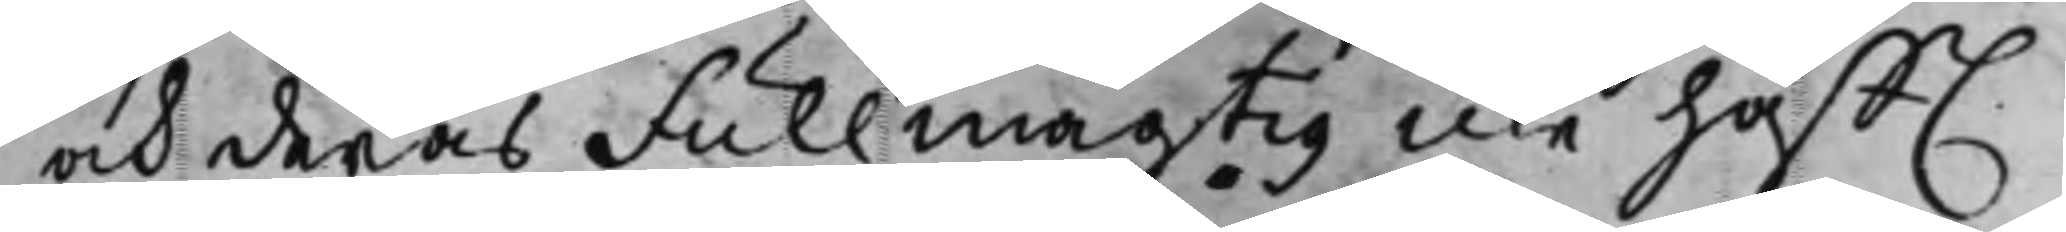och deras Fullmägtig icke hafft
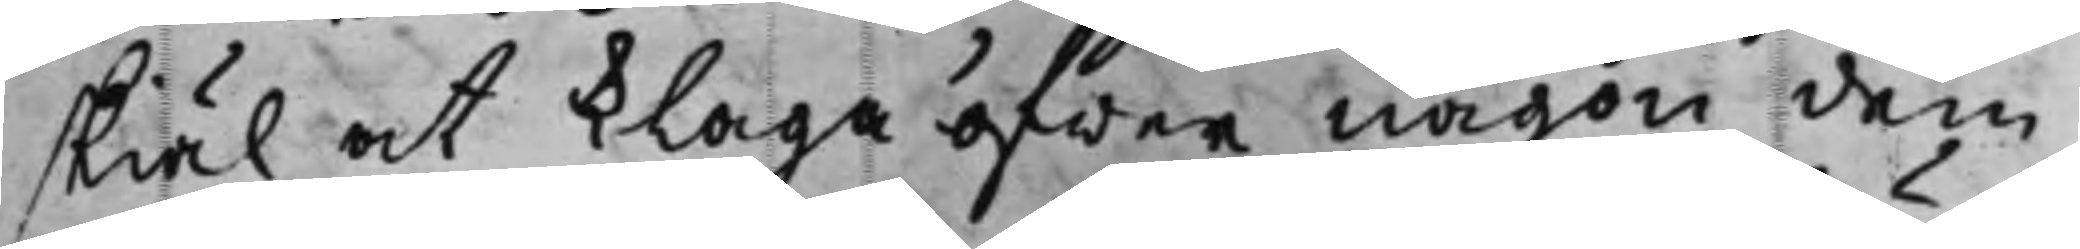skiäl at klaga öfwer någon dem
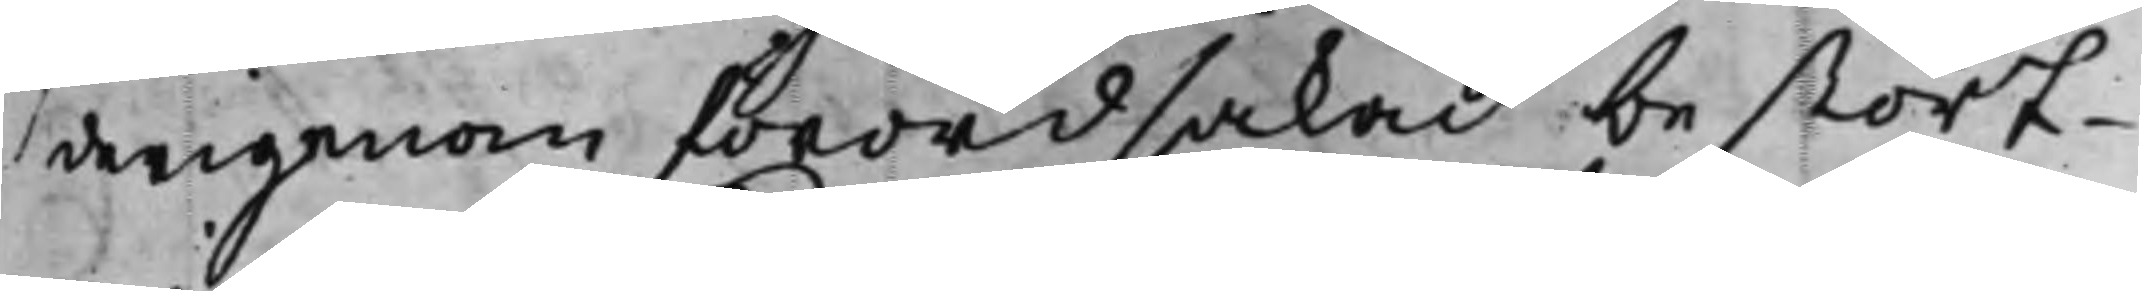derigenom förordsakad bestört¬
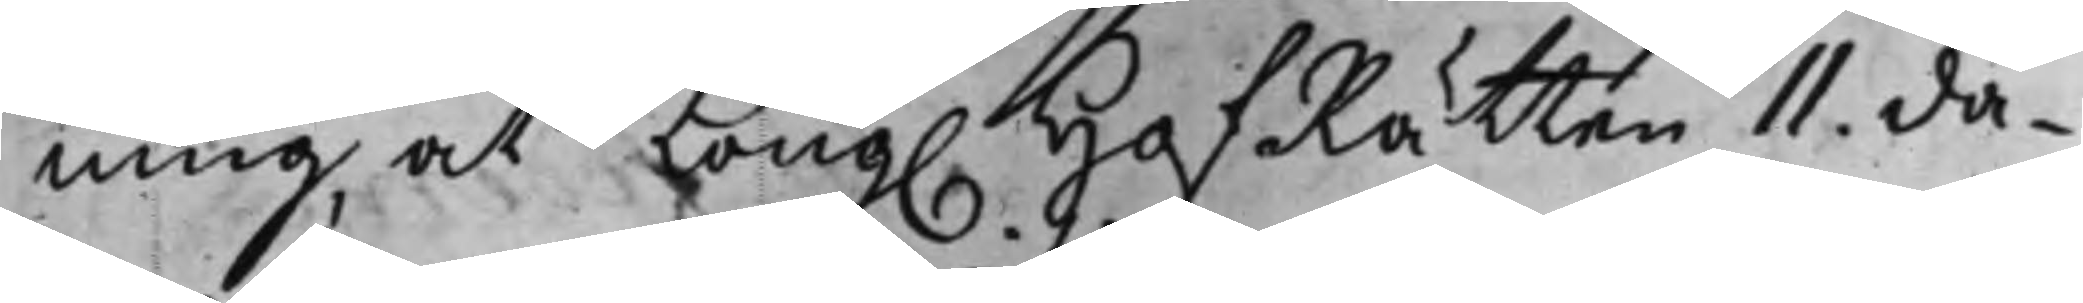ning at Kong. HofRätten 11. da¬
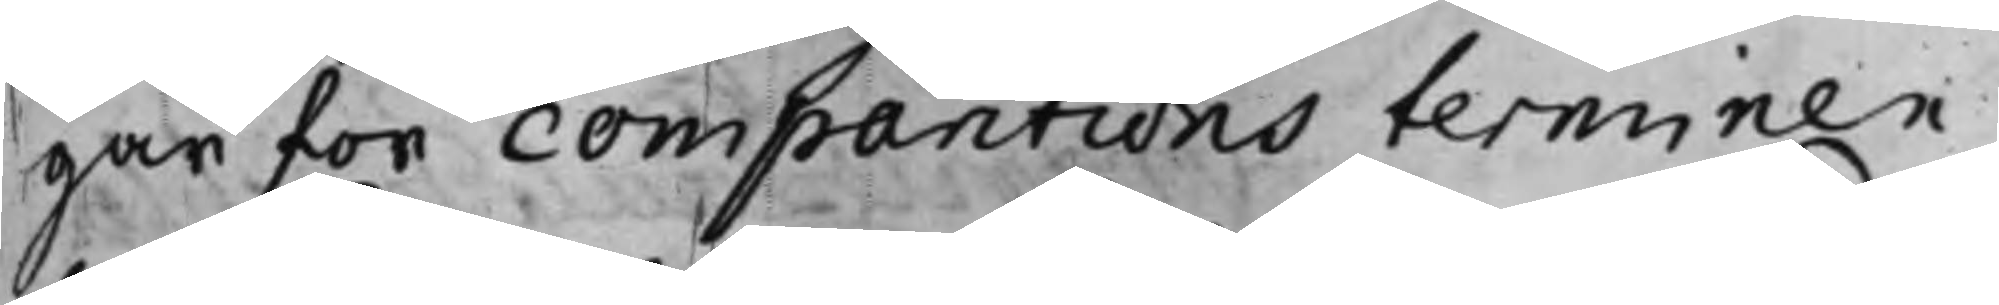gar for comparitions terminen
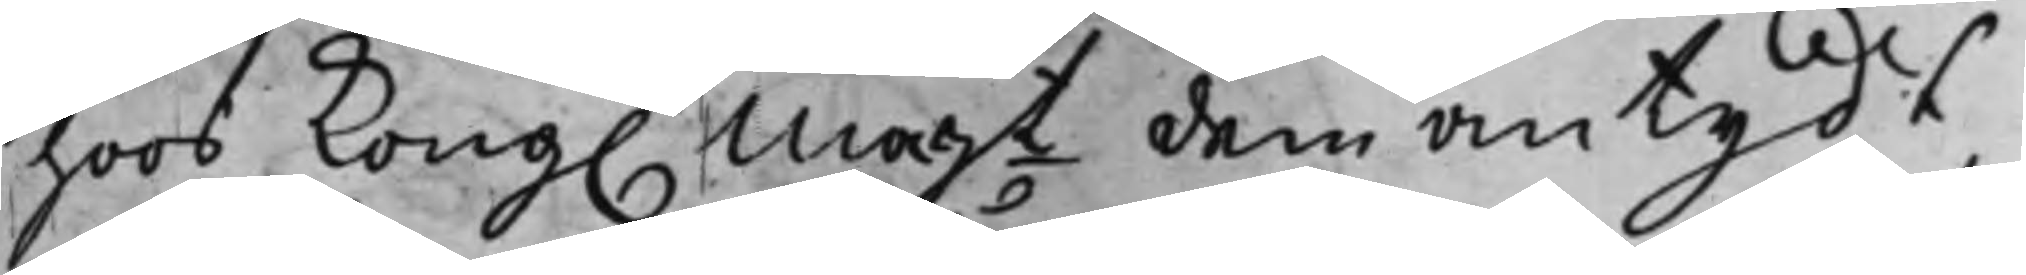hoos Kong. Majt dem antydt,
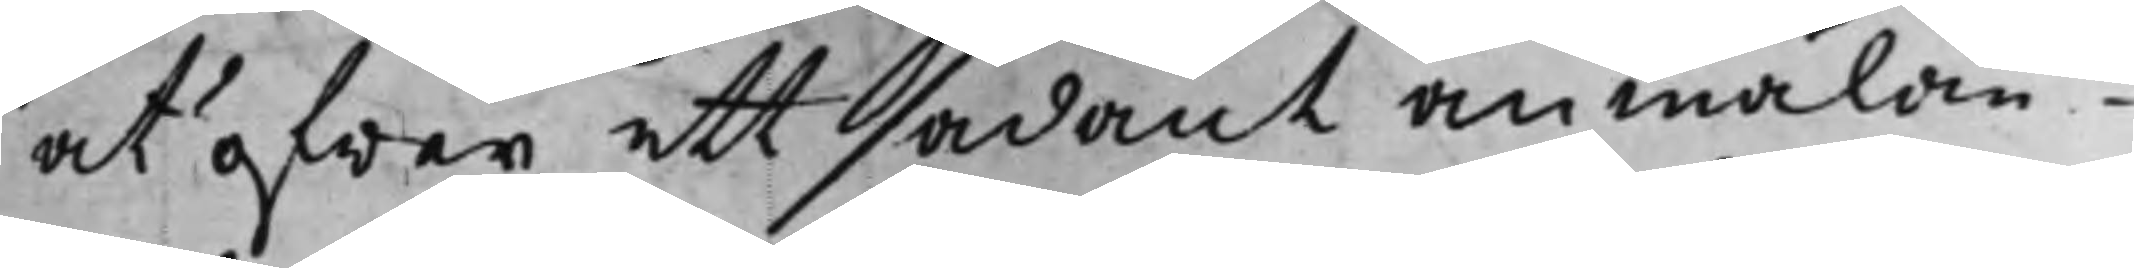at öfwer ett sådant anmälan¬
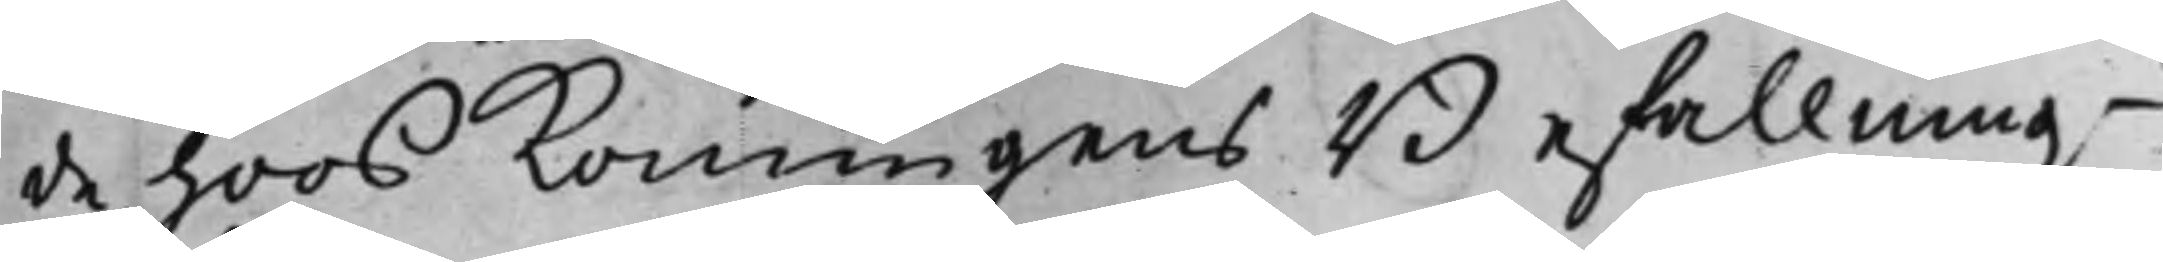de hoos Konungens Befallningz¬
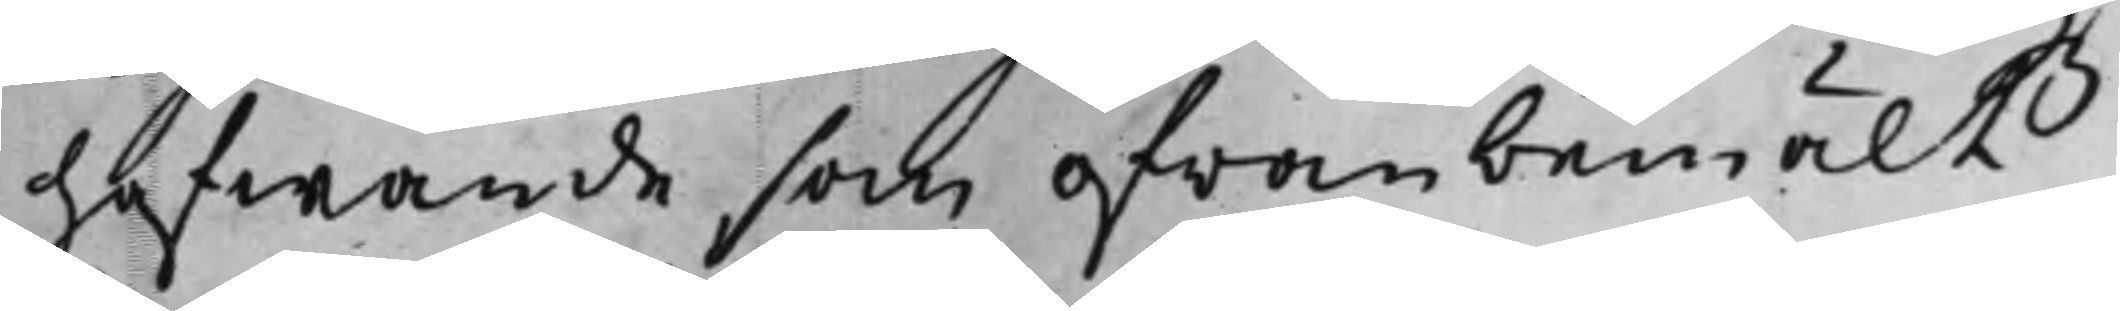hafwande, som ofwanbemält
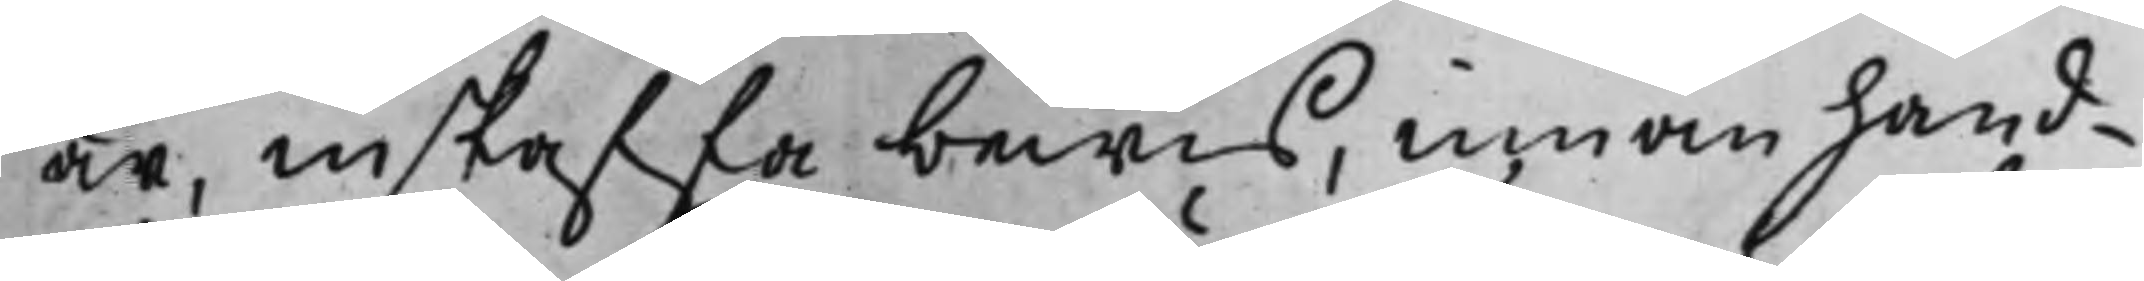är, inskaffa bewis, innan hand¬
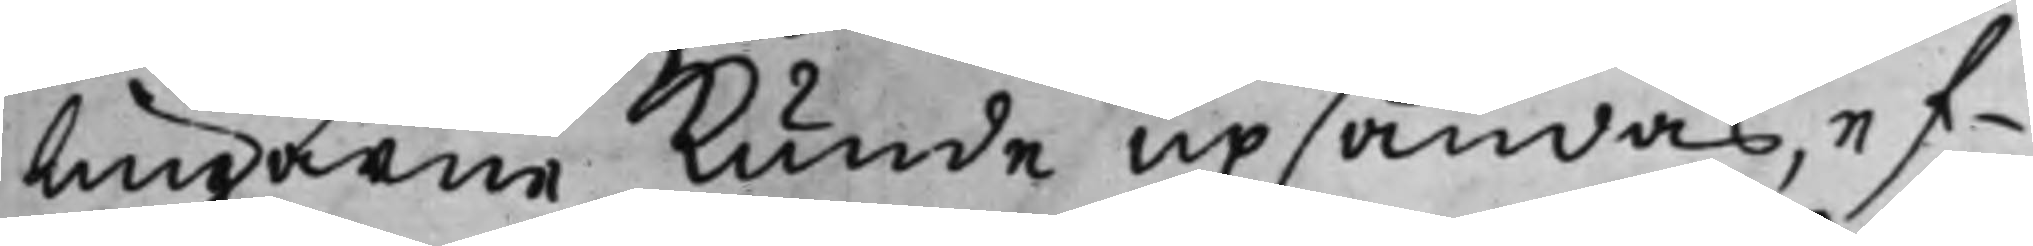lingarne Kunde upsändas, ef¬
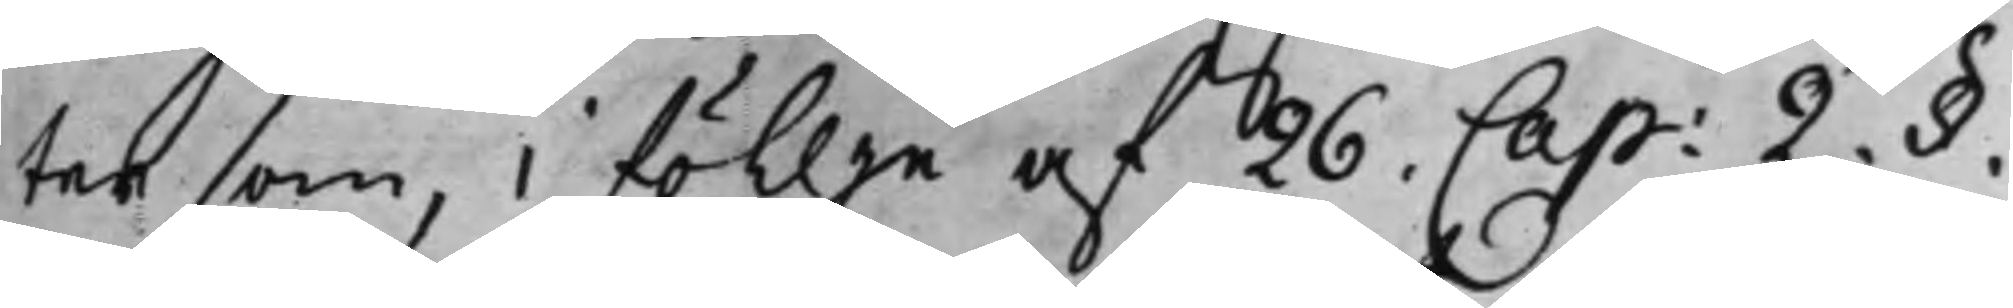ter som, i föllje af 26. Cap: 2. §.
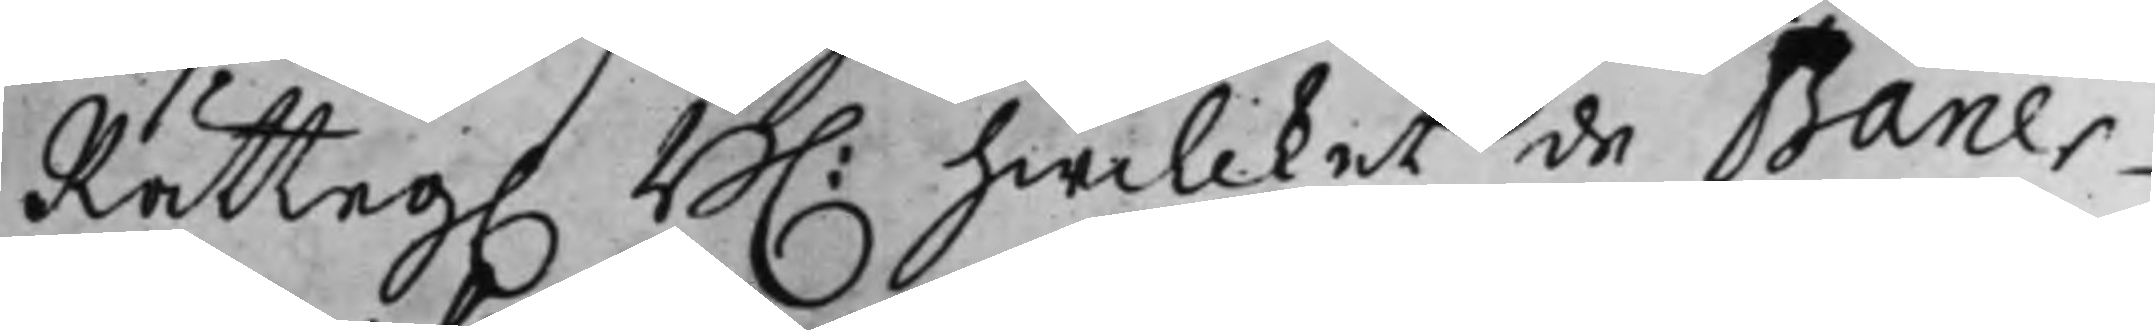Rätteg. B. hwilcket de Baner¬
